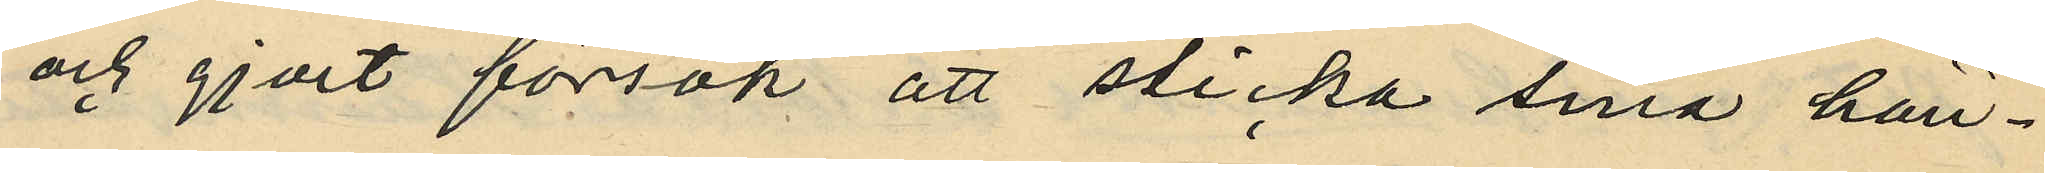och gjort försök att sticka sina hän¬
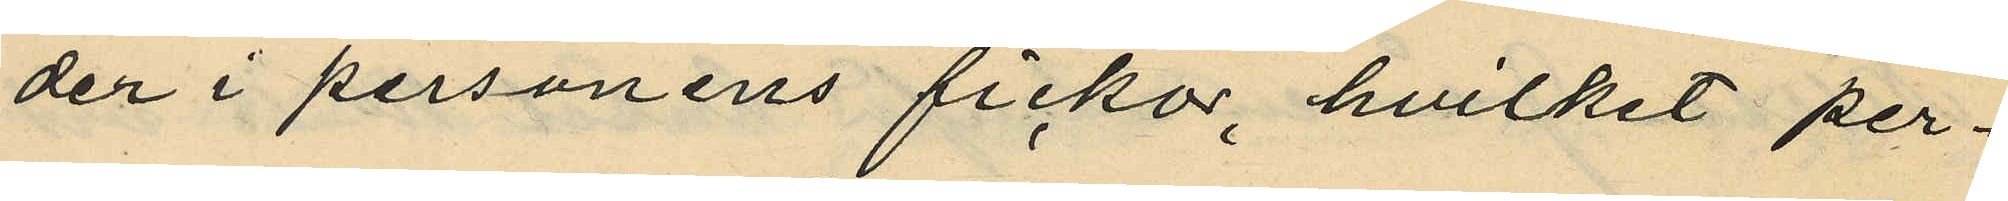der i personens fickor, hvilket per¬
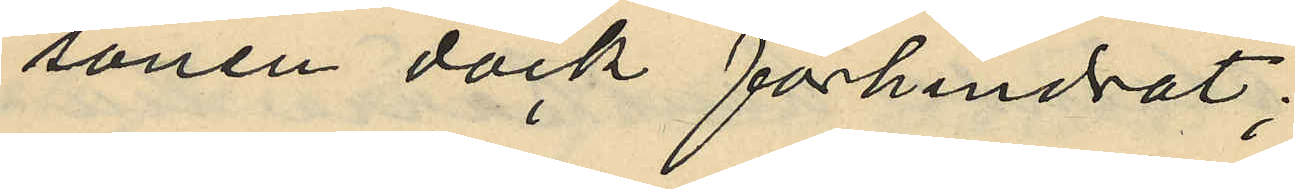sonen dock förhindrat;
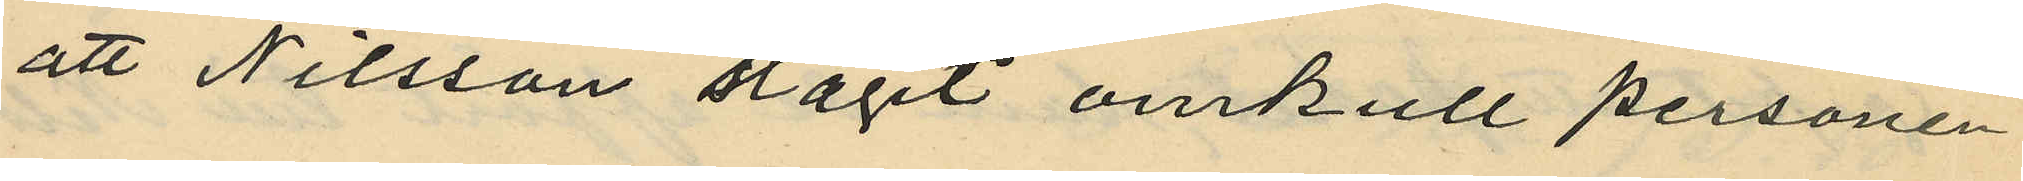att Nilsson slagit omkull personen
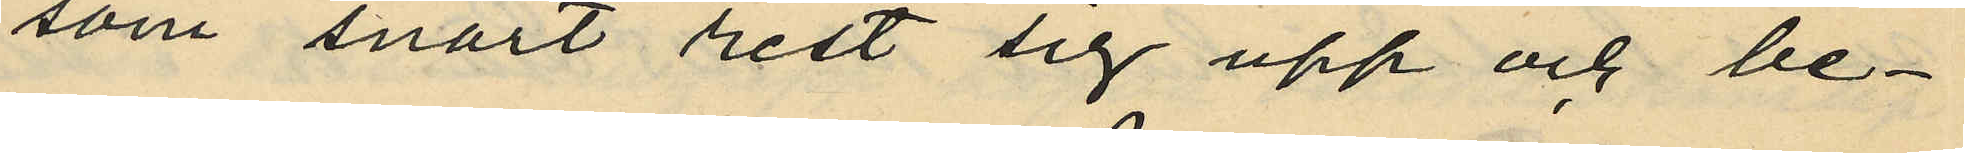som snart rest sig upp och be¬
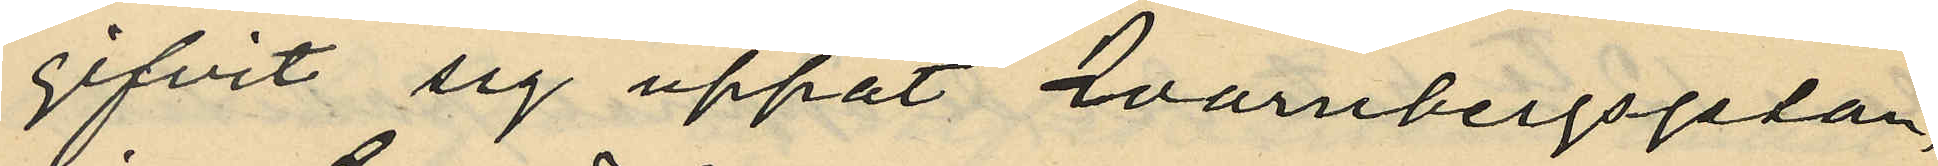gifvit sig uppåt Qvarnbergsgatan,
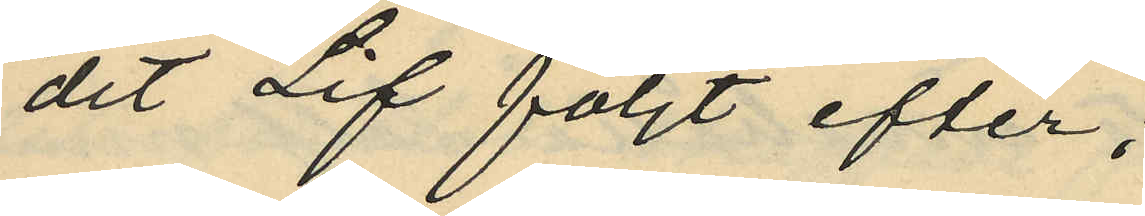dit Lif följt efter;
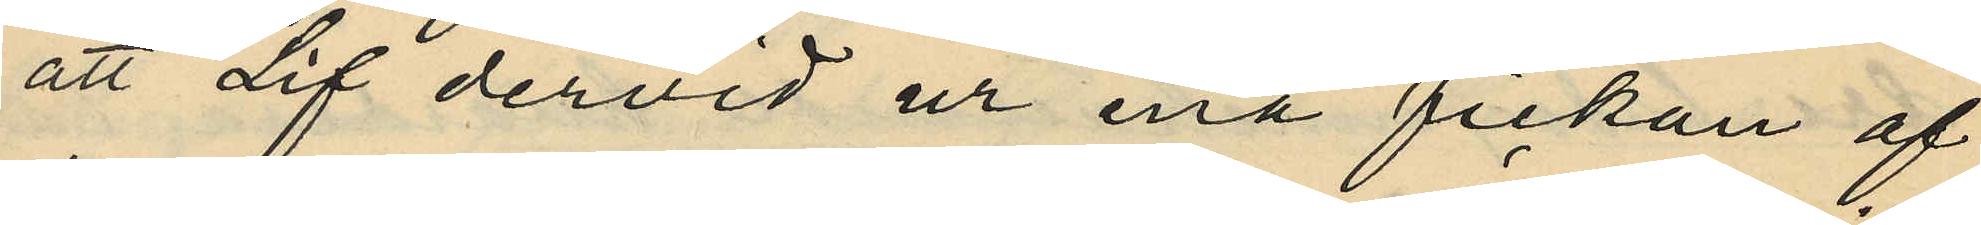att Lif dervid ur ena fickan af
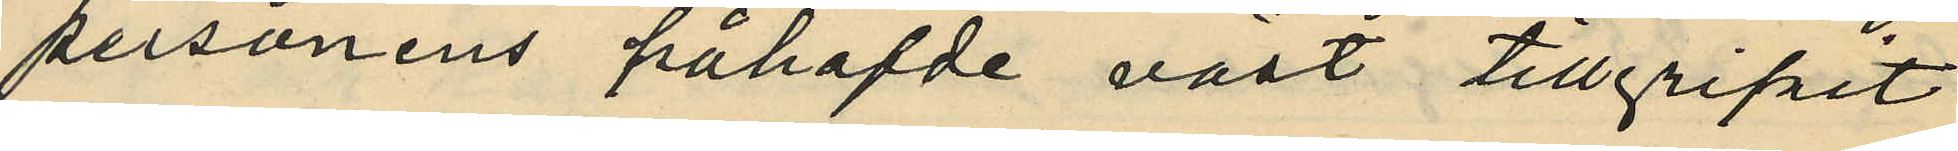personens påhafvde väst tillgripit
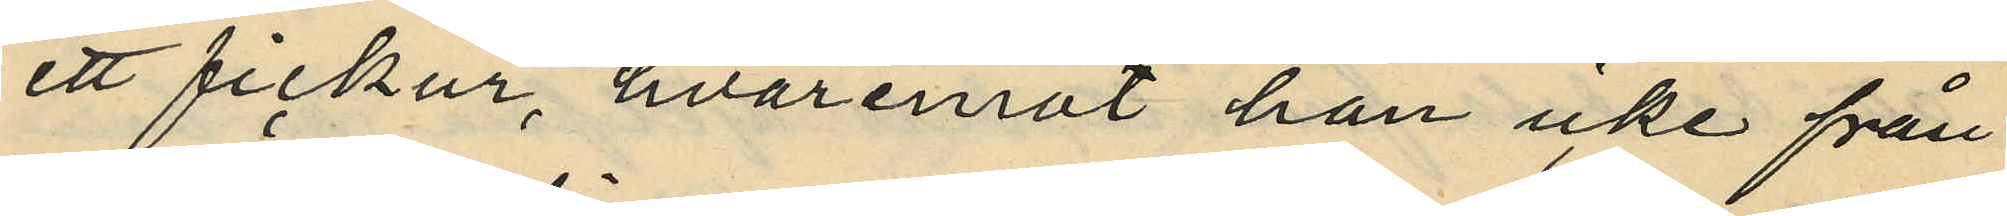ett fickur, hvaremot han icke från
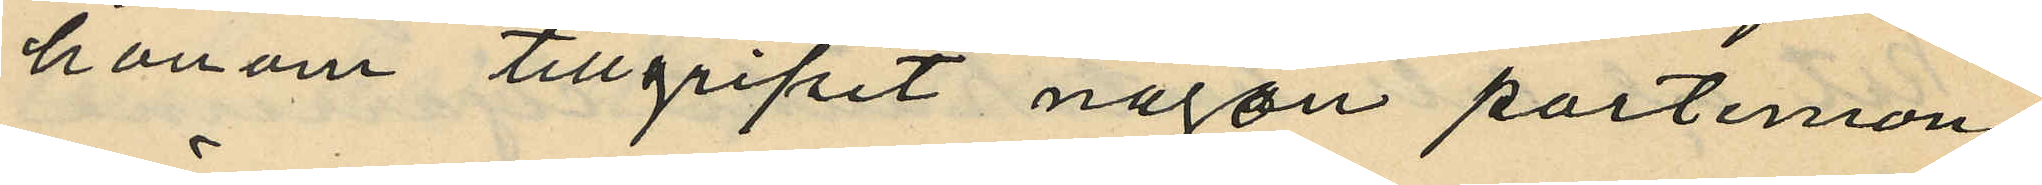honom tillgripit någon portemon¬
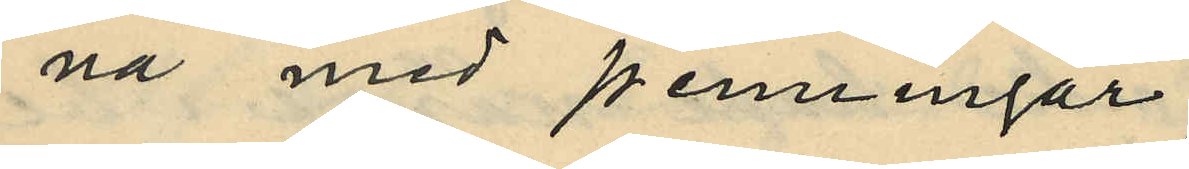nä med penningar;
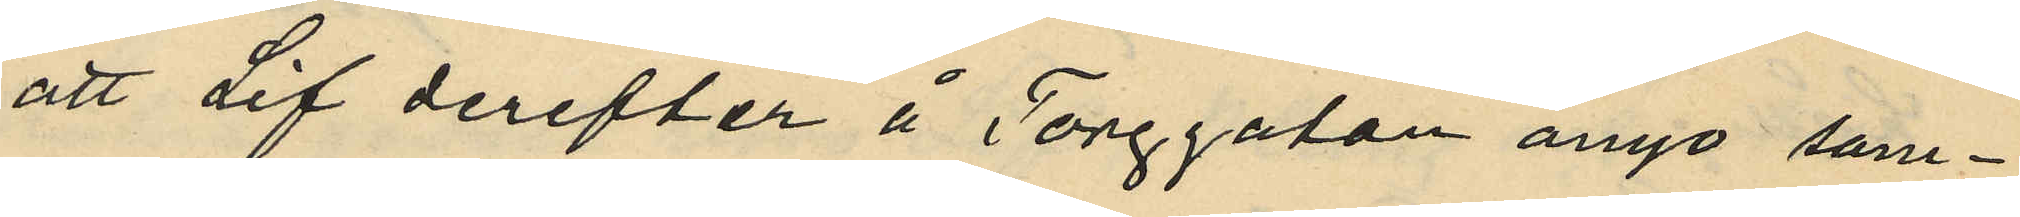att Lif derefter å Torggatan ånyo sam¬
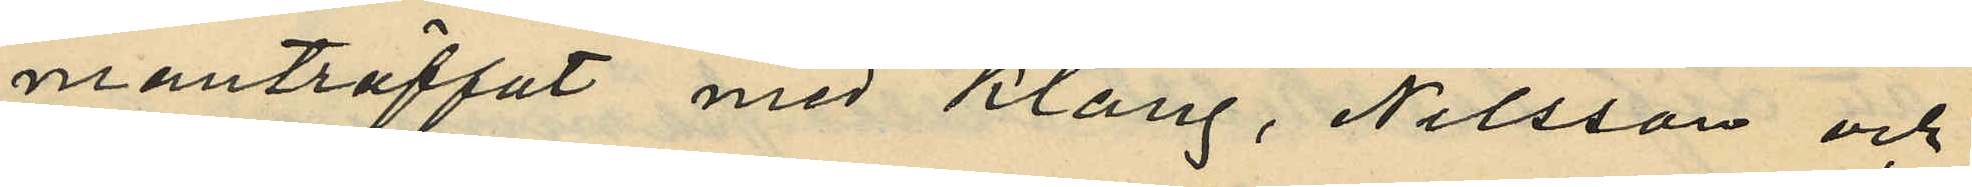manträffat med Klang, Nilsson och
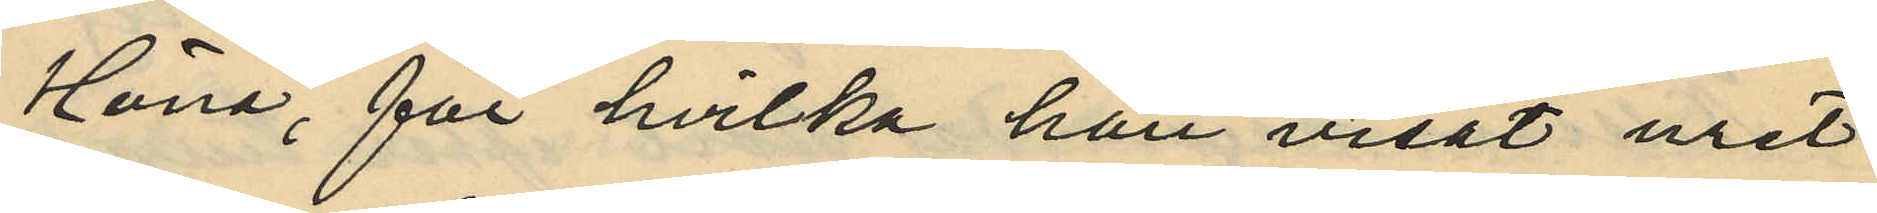Höna, för hvilka han visat uret
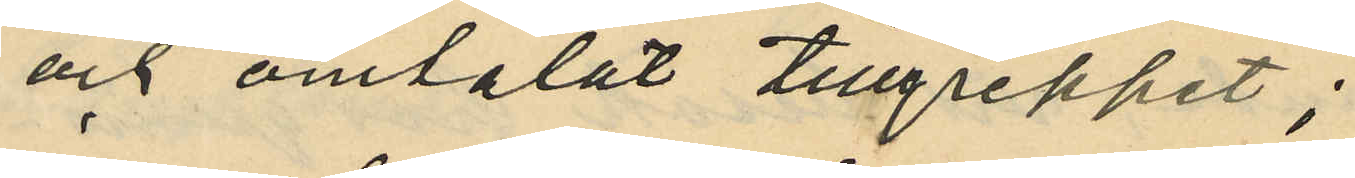och omtalat tillgreppet;
